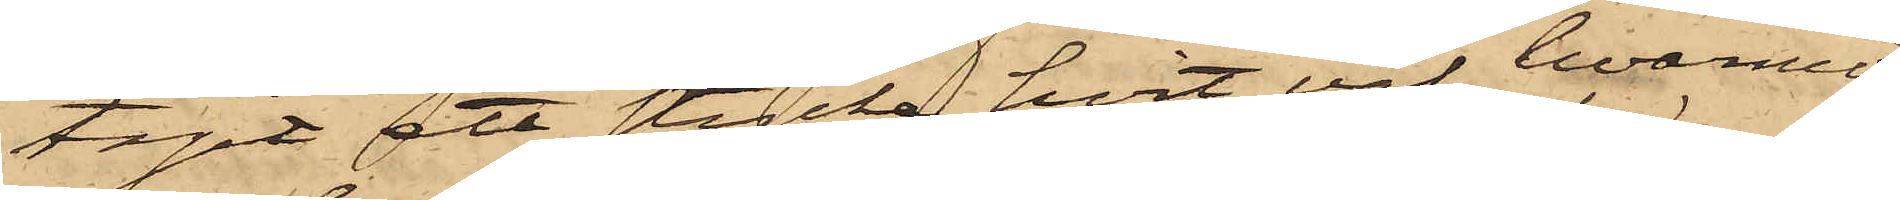tagit ett stycke hvit väf, hvarmed
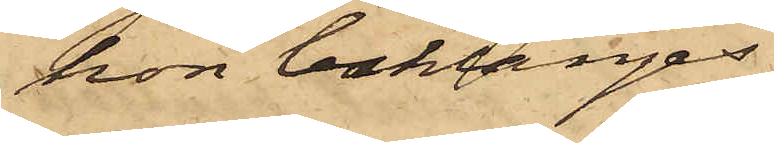hon baklänges
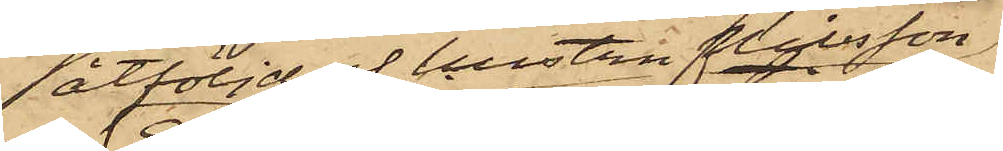åtföljd af hustru Nilsson,
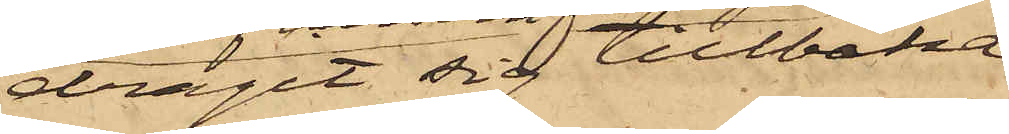dragit sig tillbaka
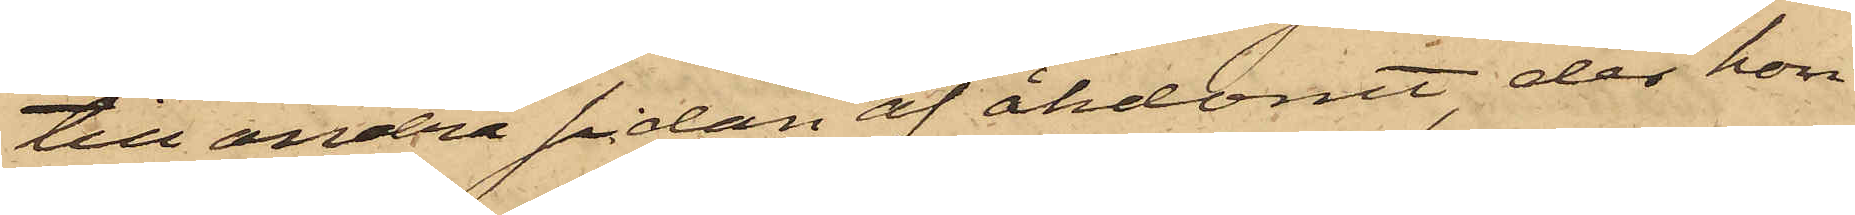till andra sidan af åkdonet, der hon
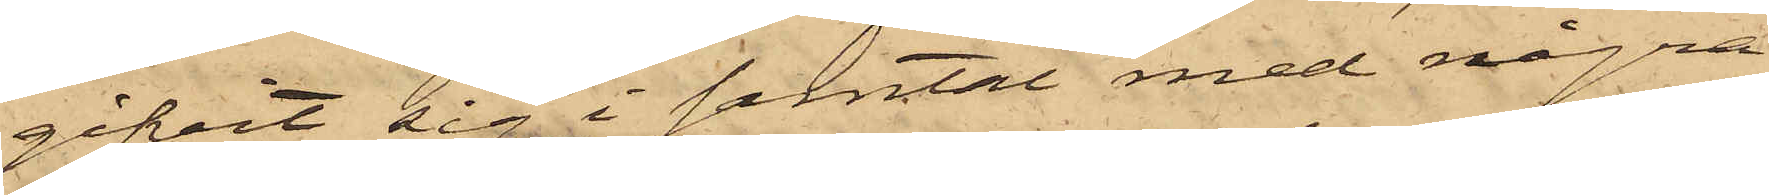gifvit sig i samtal med några
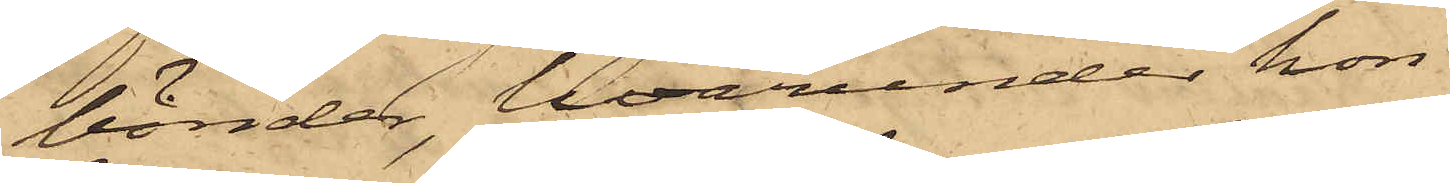bönder, hvarunder hon
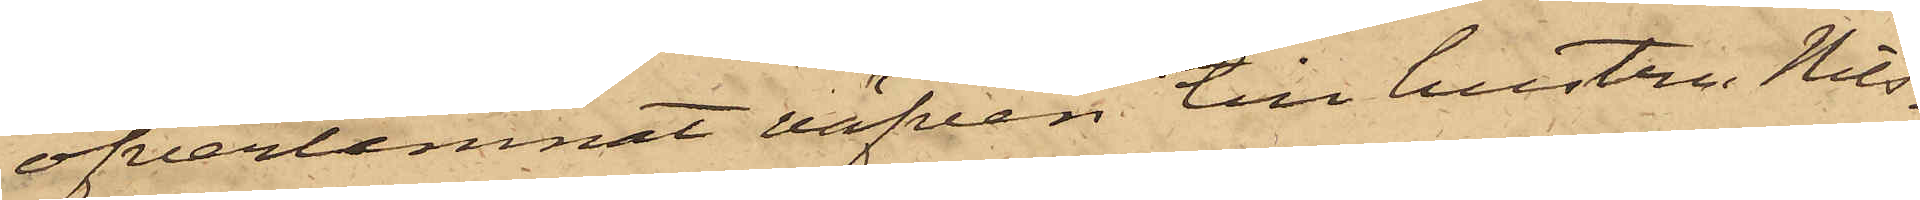öfverlemnat väfven till hustru Nils¬
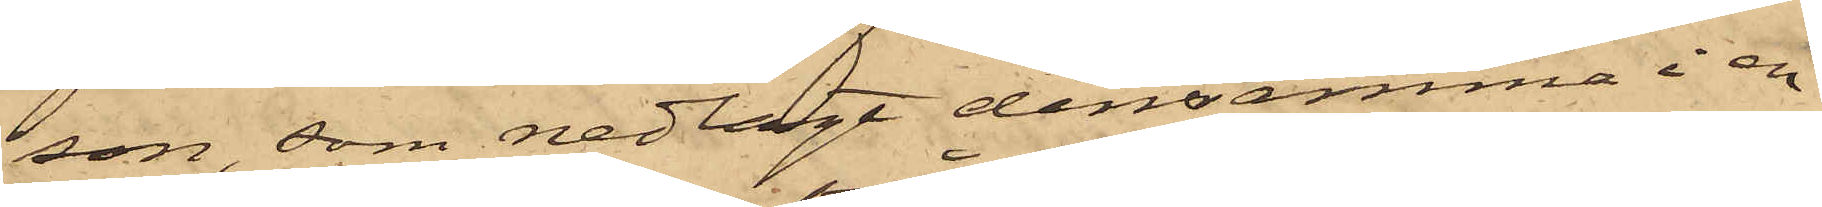son, som nedlagt densamma i en
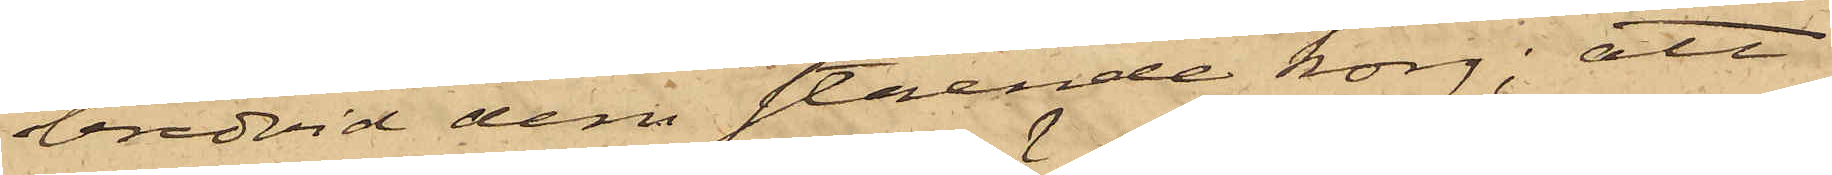bredvid dem stående korg; att
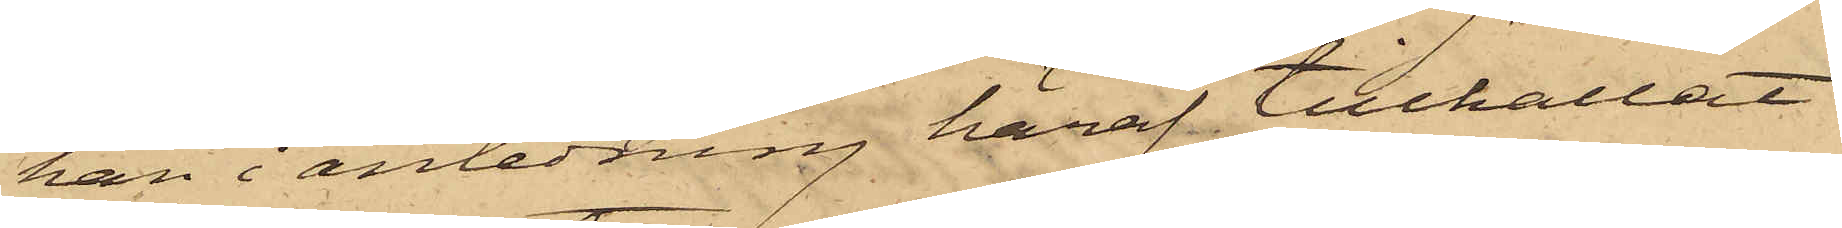han i anledning häraf tillkallat
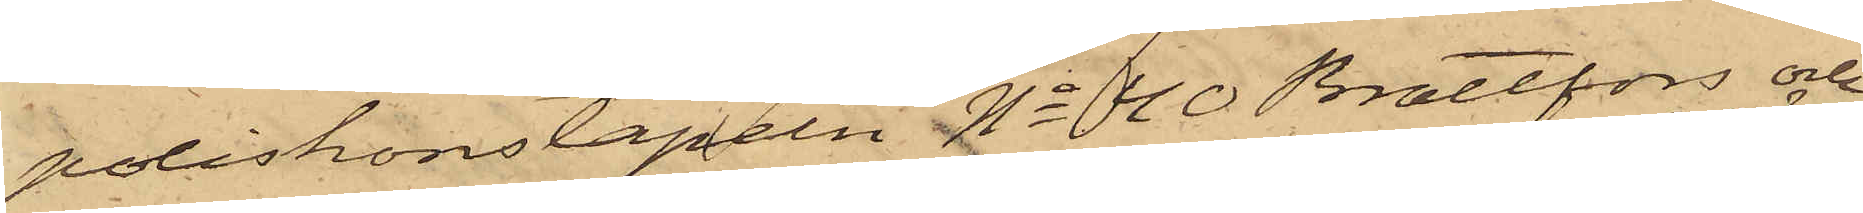poliskonstapeln No 40 Brattfors och
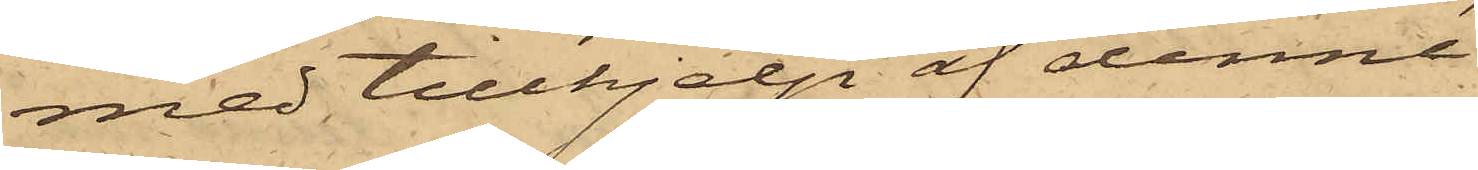med tillhjelp af denne
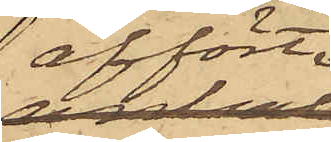affört
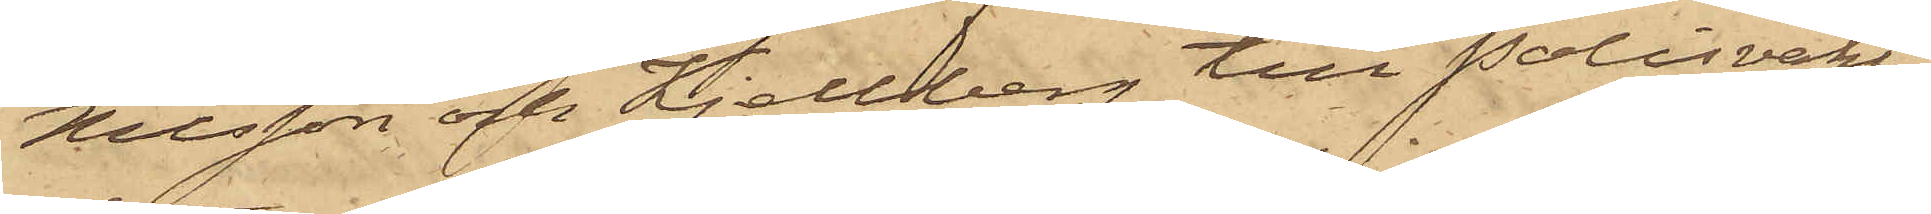Nilsson och Kjellberg till Polisvakt¬
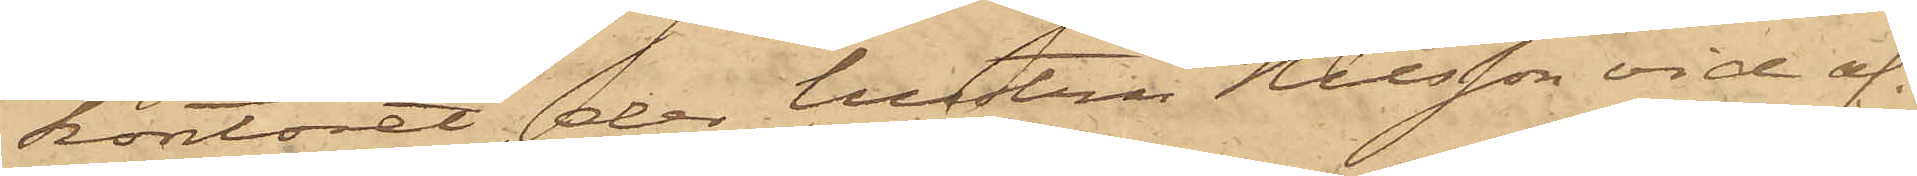kontoret, der hustru Nilsson vid af¬
